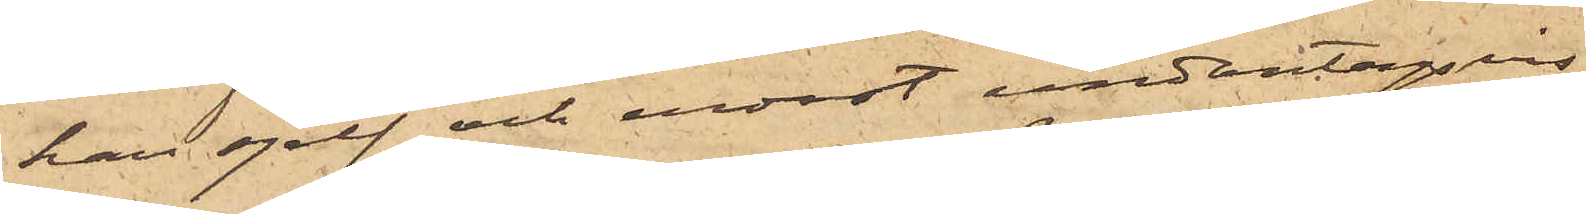han sjelf och endast undantagsvis
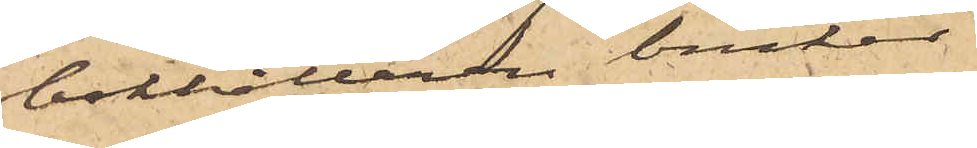bokhållaren brukar
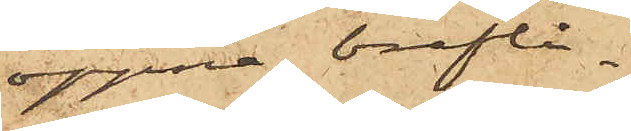öppna breflå¬
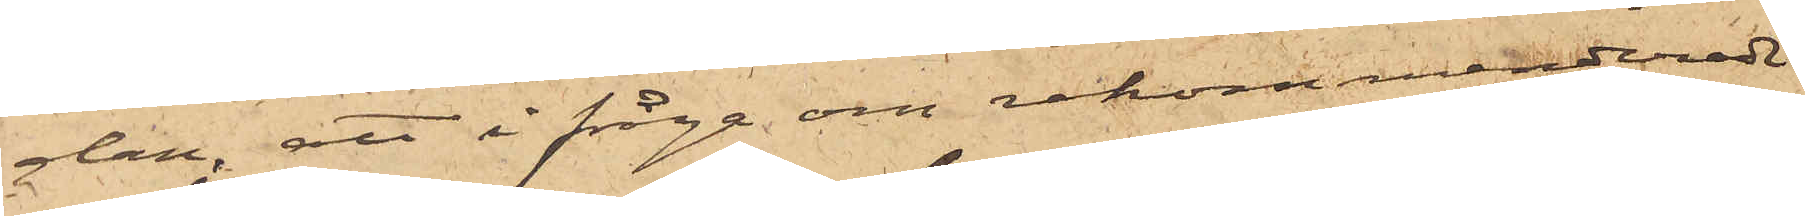dan, att ifråga om rekommenderade
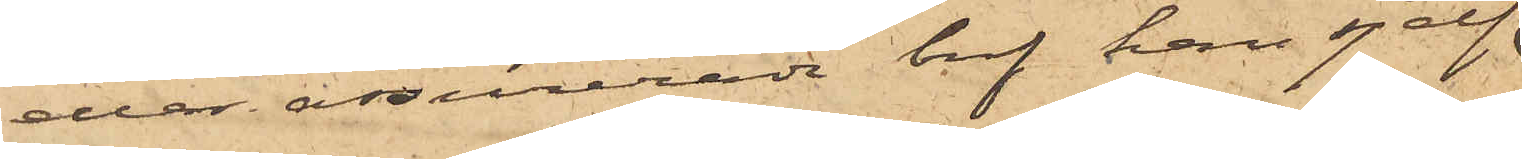eller assurerade bref han sjelf
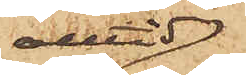alltid
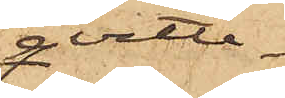qvitte¬
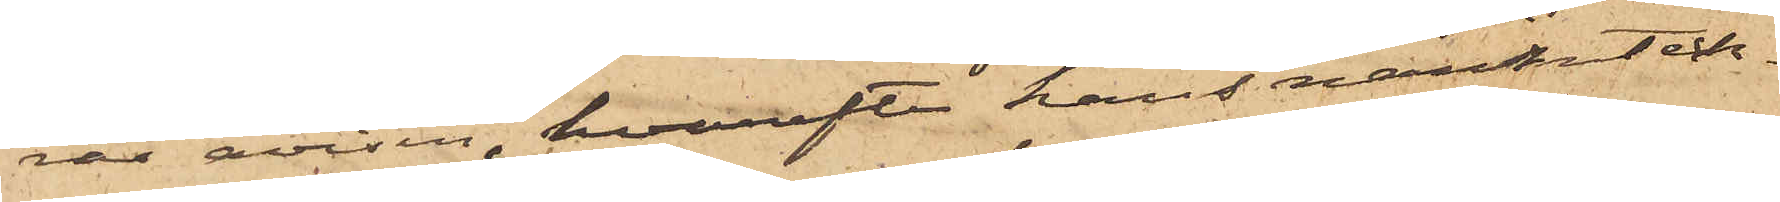rar avisen, hvarefter hans namnteck¬
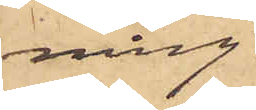ning
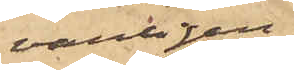vanligen
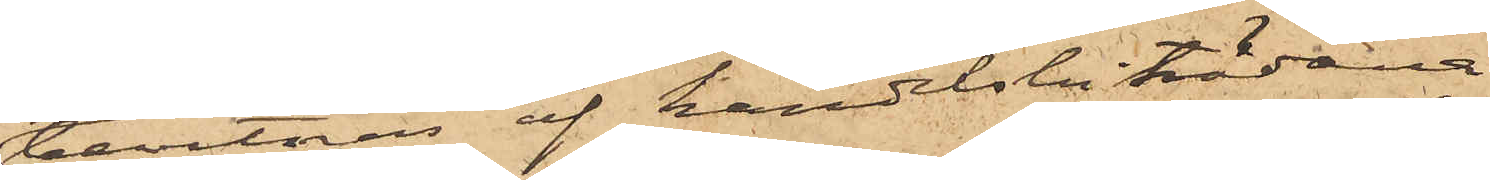bevittnas af handelsbiträdena
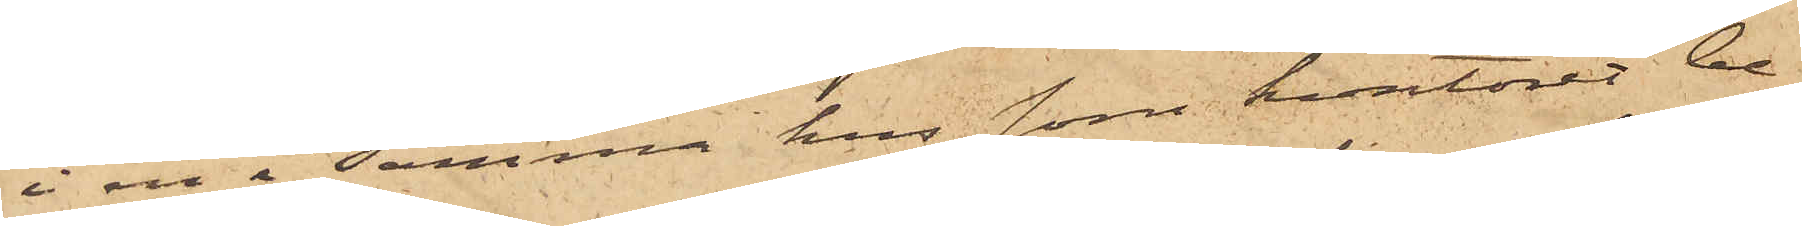i en i samma hus som kontoret be¬
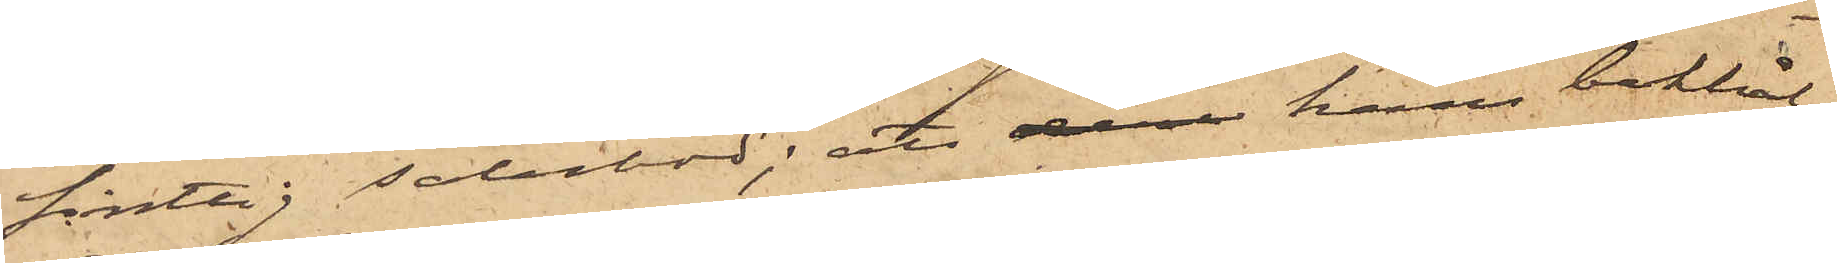fintlig salubod; att som hans bokhål¬
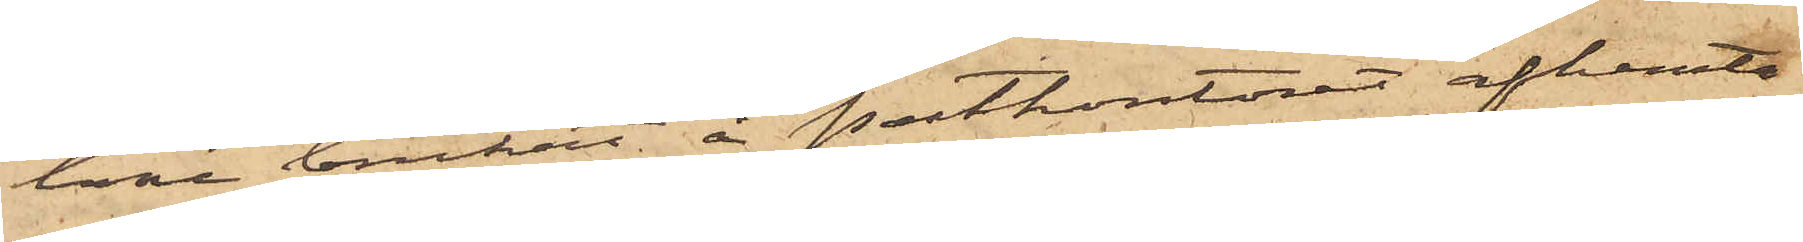lare brukat å postkontoret afhemta
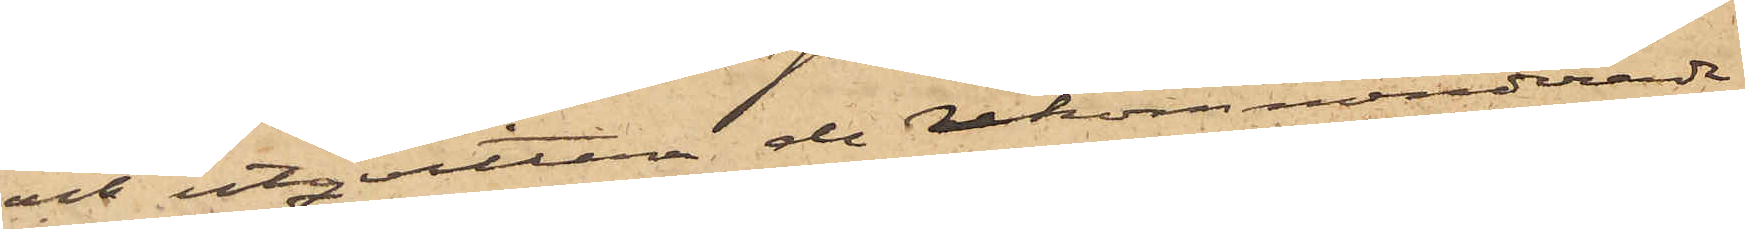och utqvittera de rekommenderade
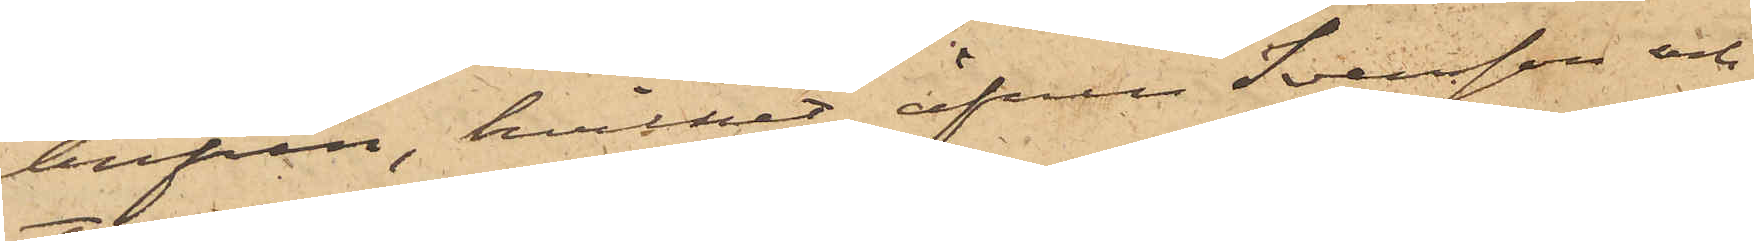brefven, hvilket äfven Svensson och
